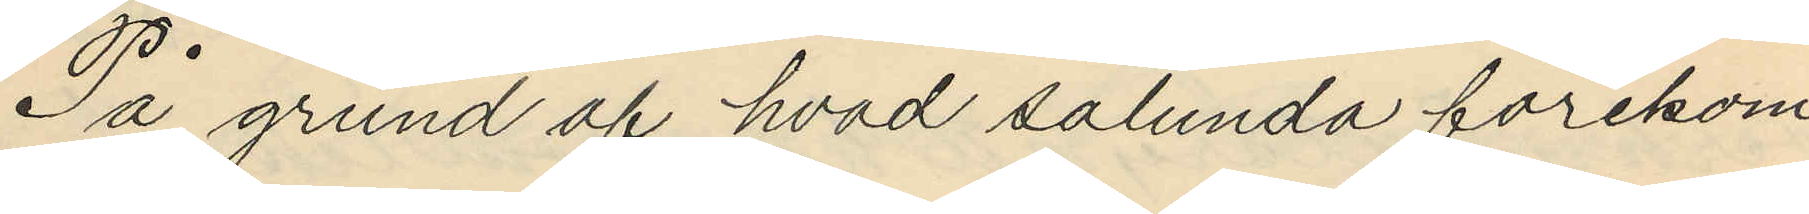På grund af hvad sålunda förekom¬
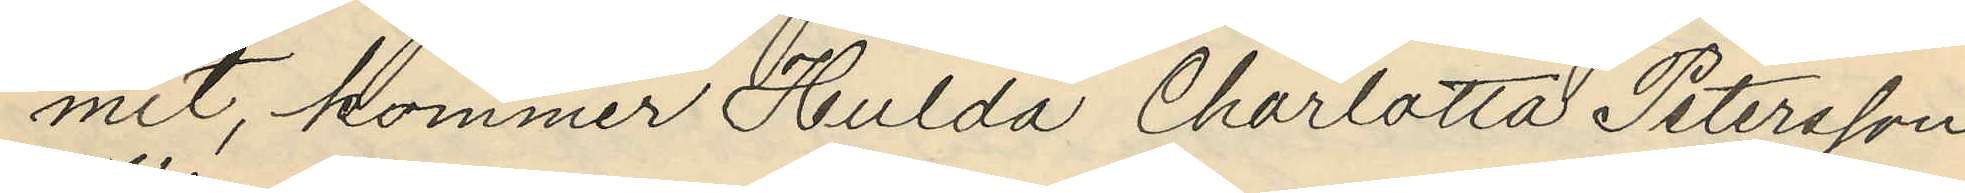mit, kommer Hulda Charlotta Petersson
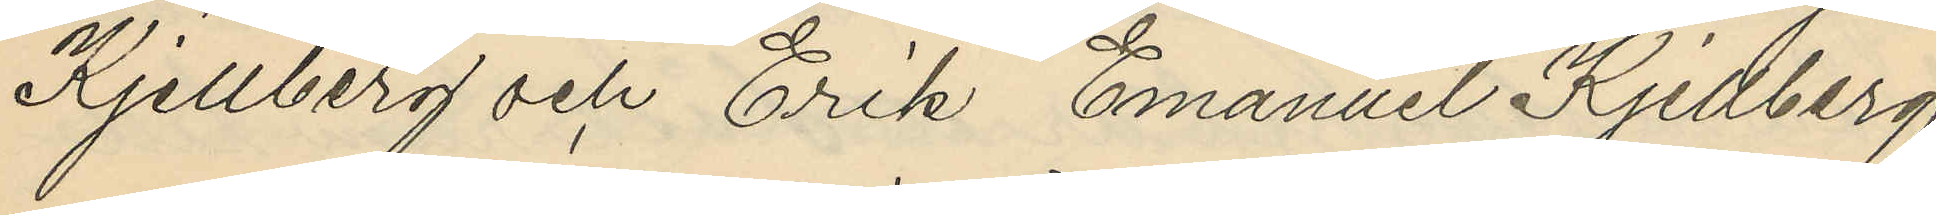Kjellberg och Erik Emanuel Kjellberg
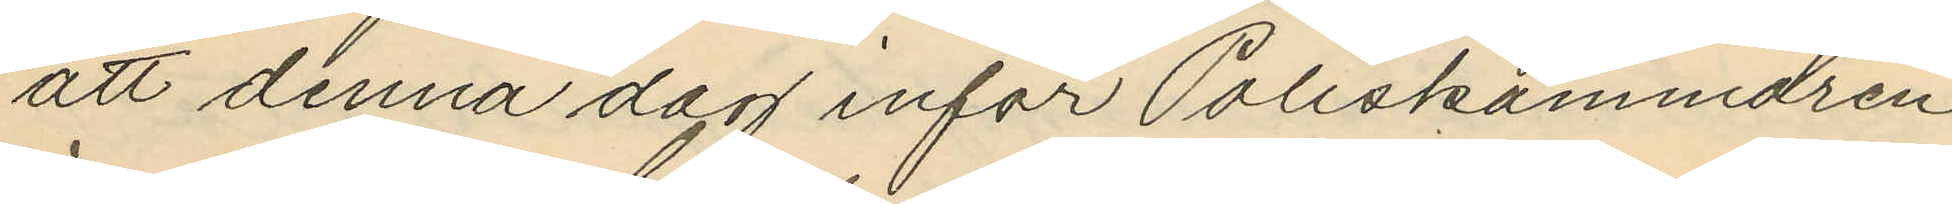att denna dag inför Poliskammaren
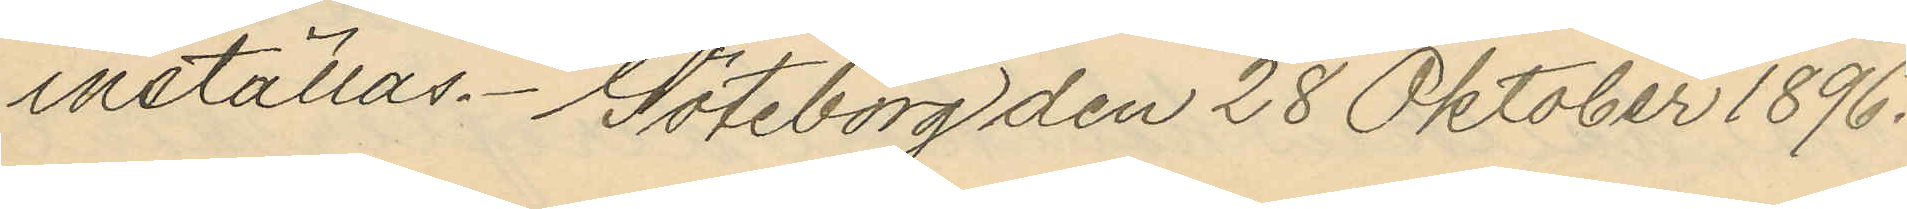inställas. Göteborg den 28 Oktober 1896.
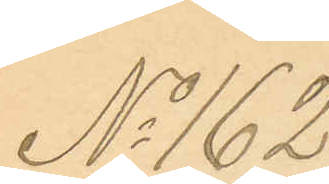No 162.
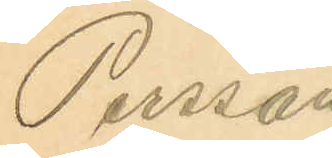Persson.
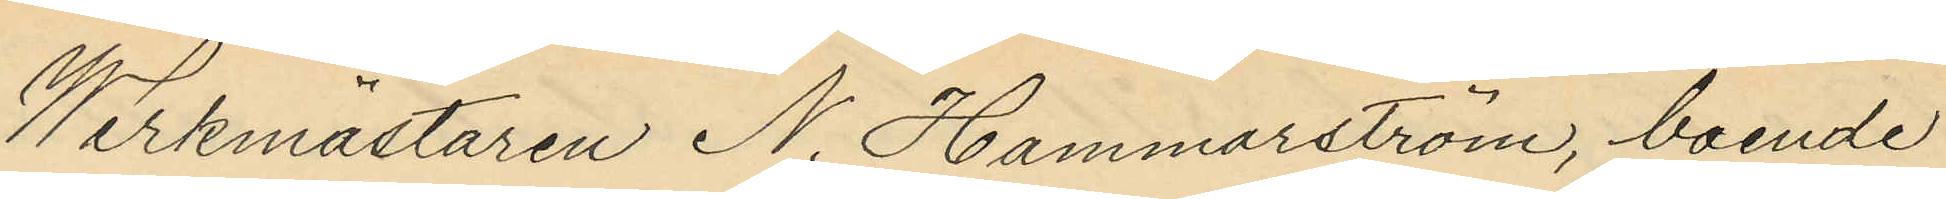Werkmästaren N. Hammarström, boende
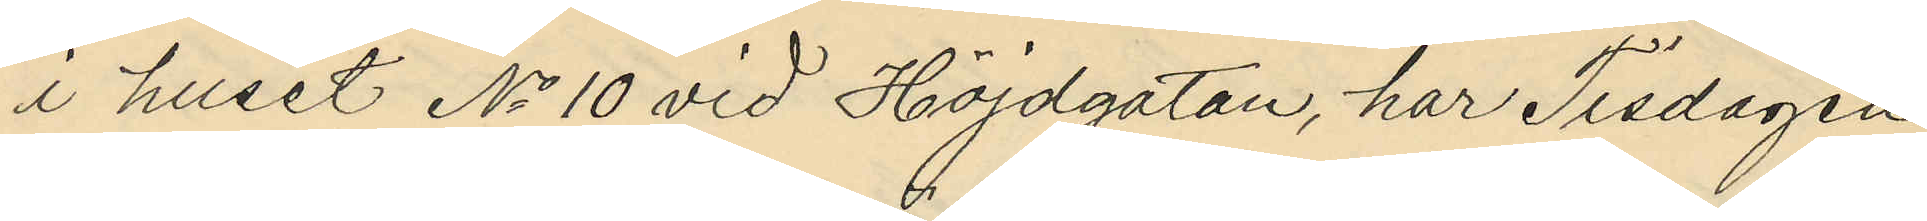i huset No 10 vid Höjdgatan, har Tisdagen
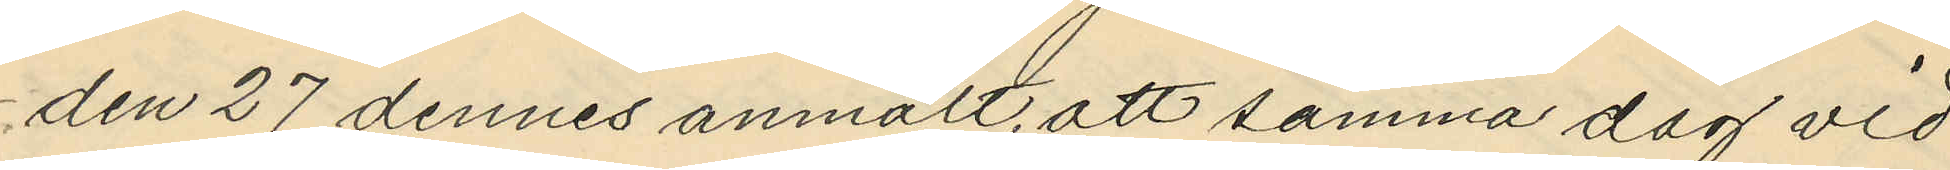den 27 dennes anmält, att samma dag vid
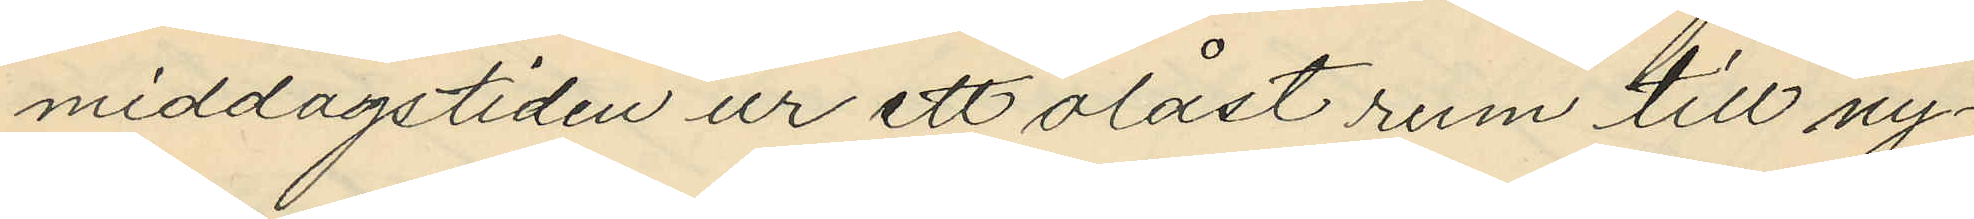middagstiden ur ett olåst rum till ny¬
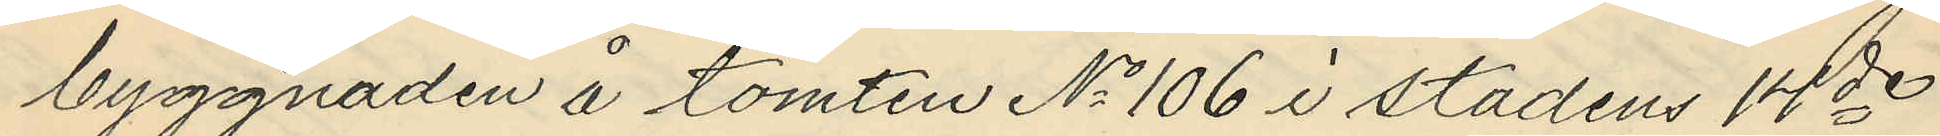byggnaden å tomten No 106 i stadens 14de
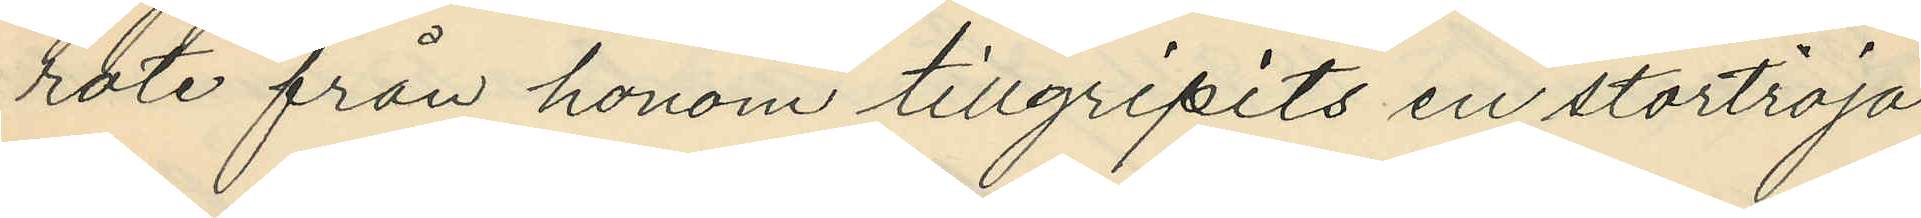rote från honom tillgripits en stortröja
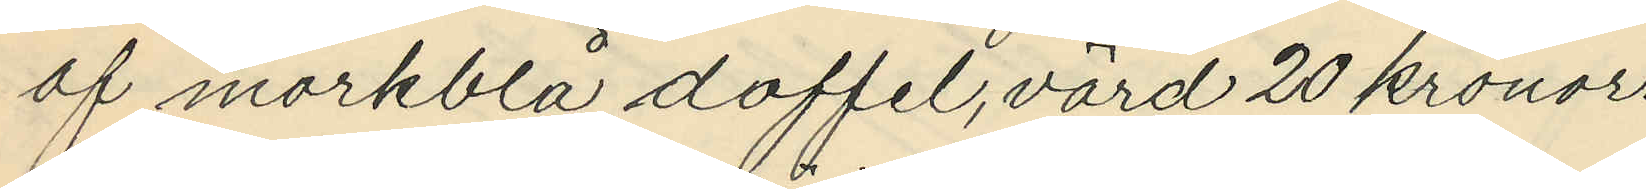af mörkblå doffel, värd 20 kronor.
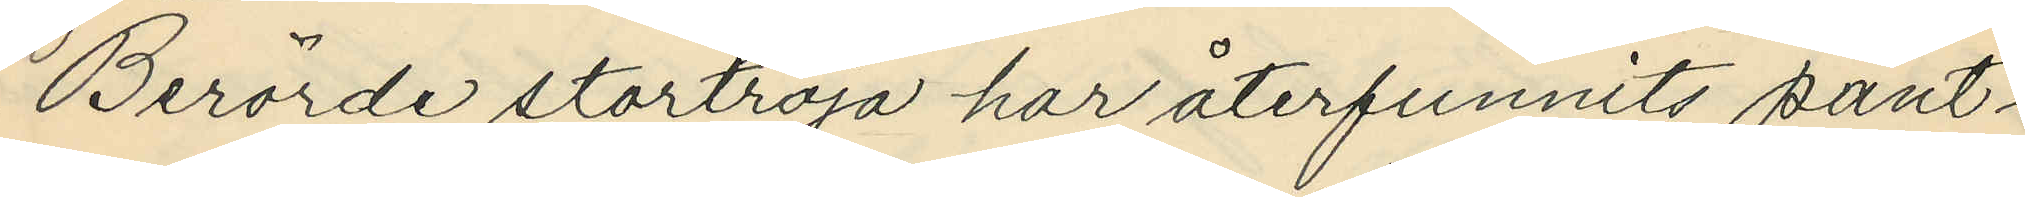Berörde stortröja har återfunnits pant¬
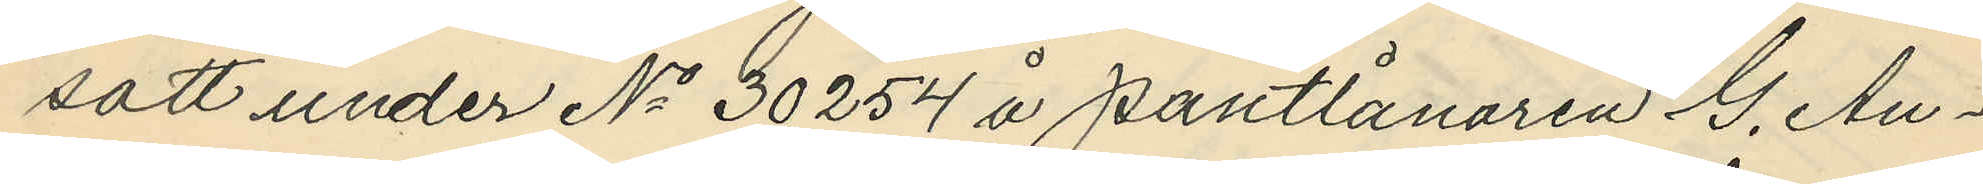satt under No 30254 å pantlånaren G. An¬
